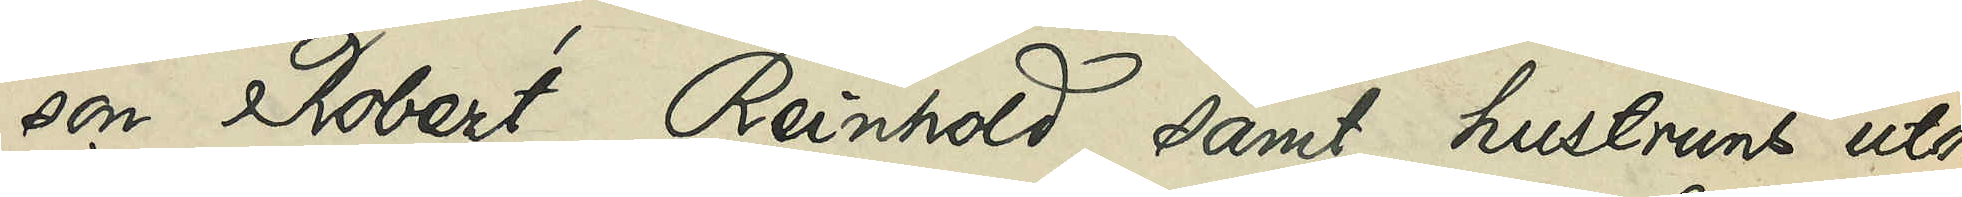son Robert Reinhold samt hustruns utom
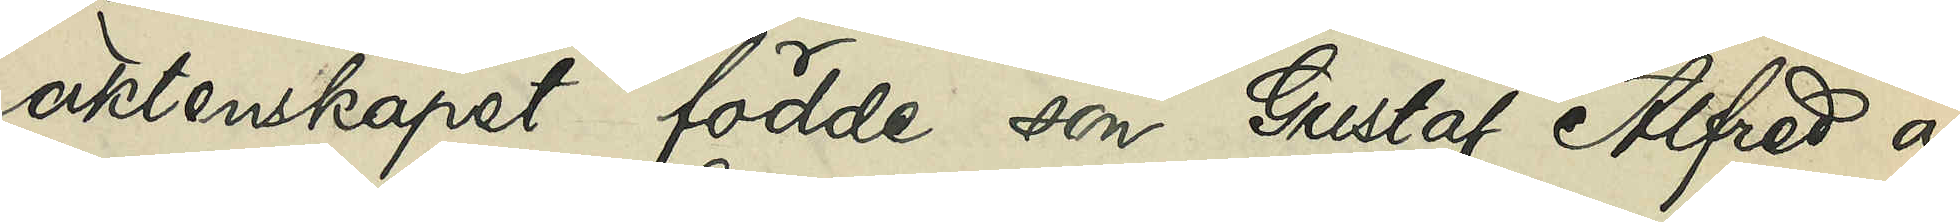äktenskapet födde son Gustaf Alfred af¬
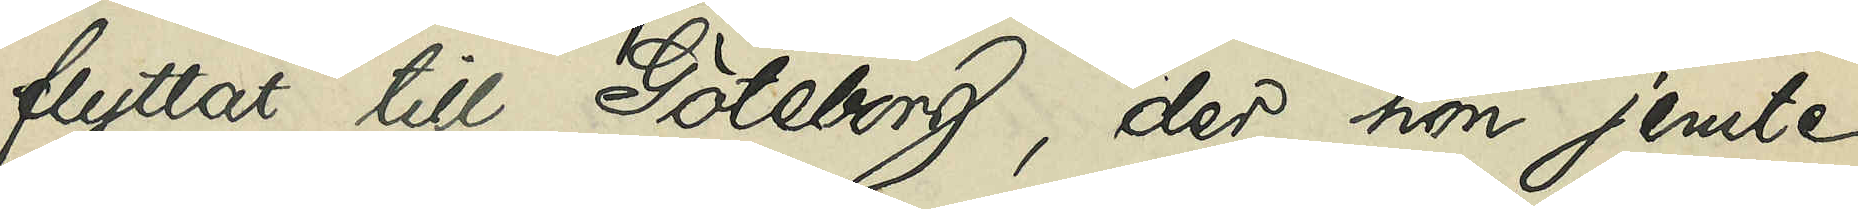flyttat till Göteborg, der hon jemte
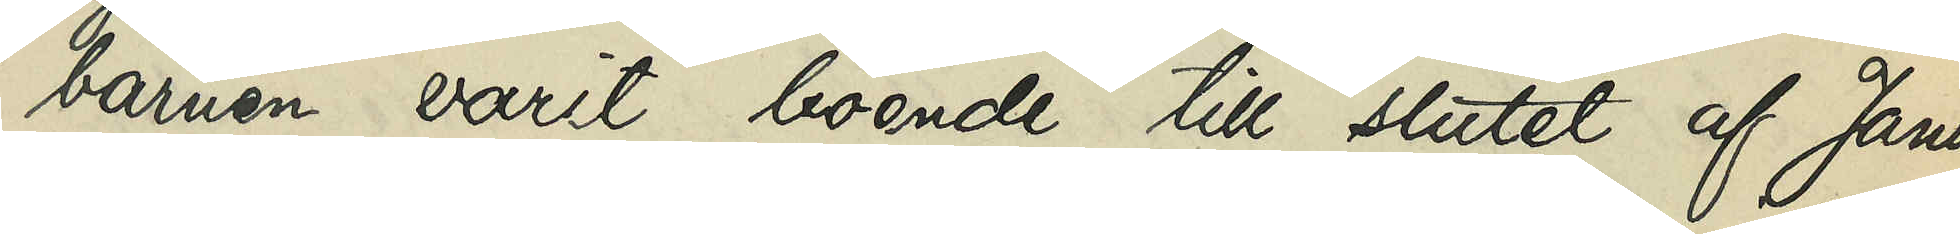barnen varit boende till slutet af Janu¬
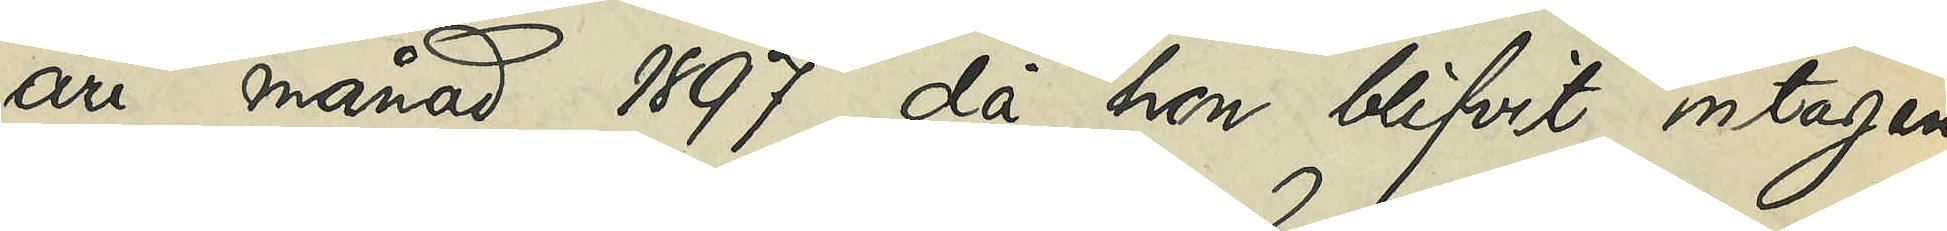ari månad 1897, då hon blifvit intagen
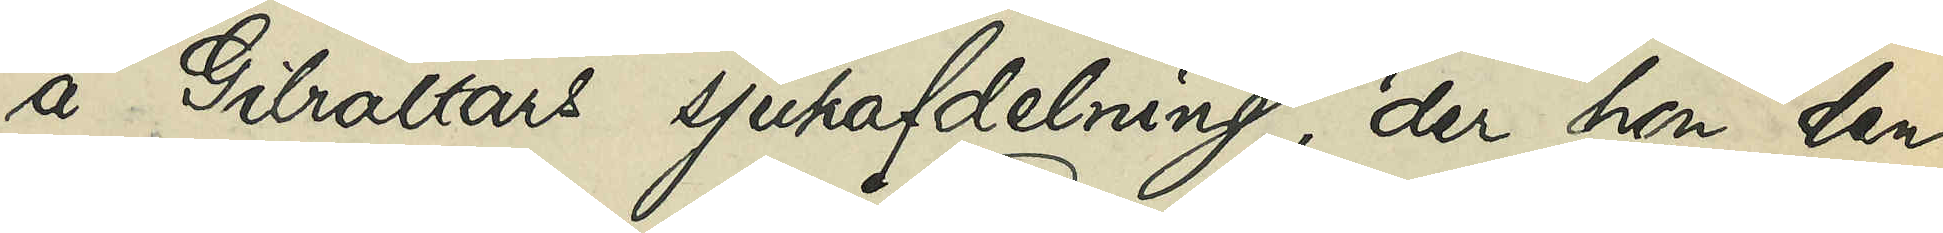å Gibraltars sjukafdelning, der hon den
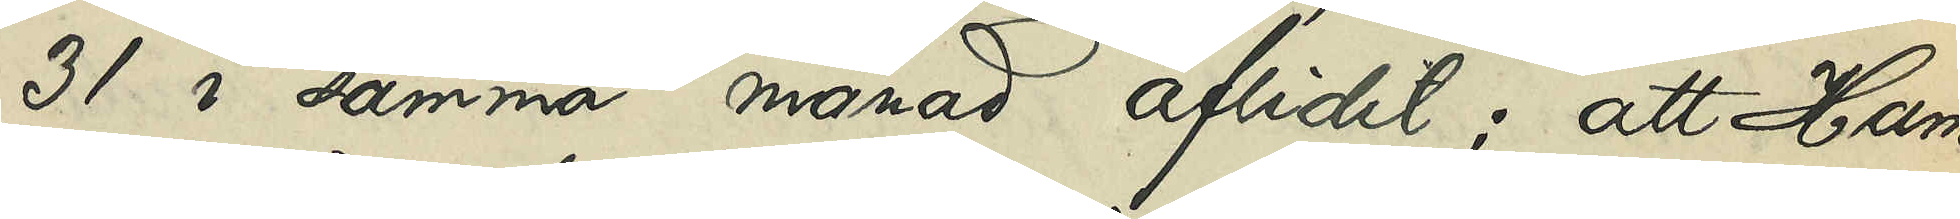31 i samma månad aflidit; att Ham¬
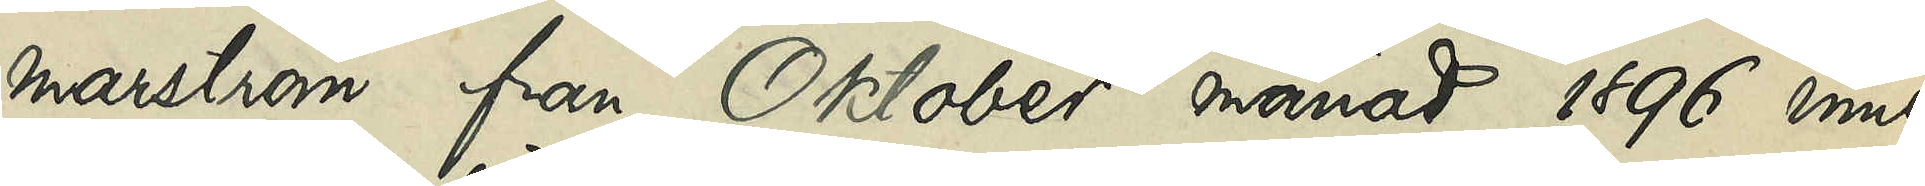marström från Oktober månad 1896 inne¬
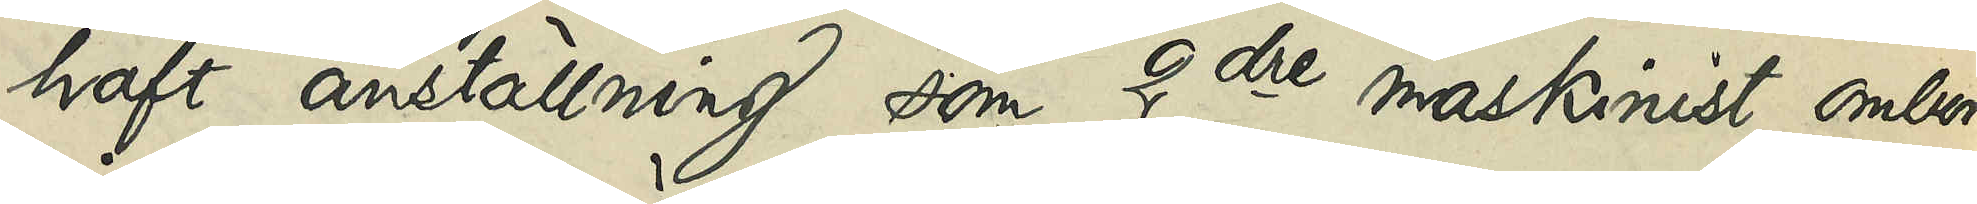haft anställning som 2dre maskinist ombord
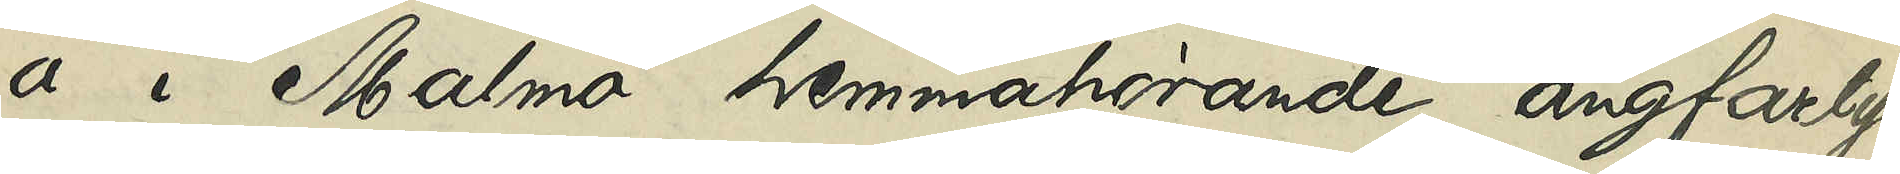a i Malmö hemmahörande ångfarty¬
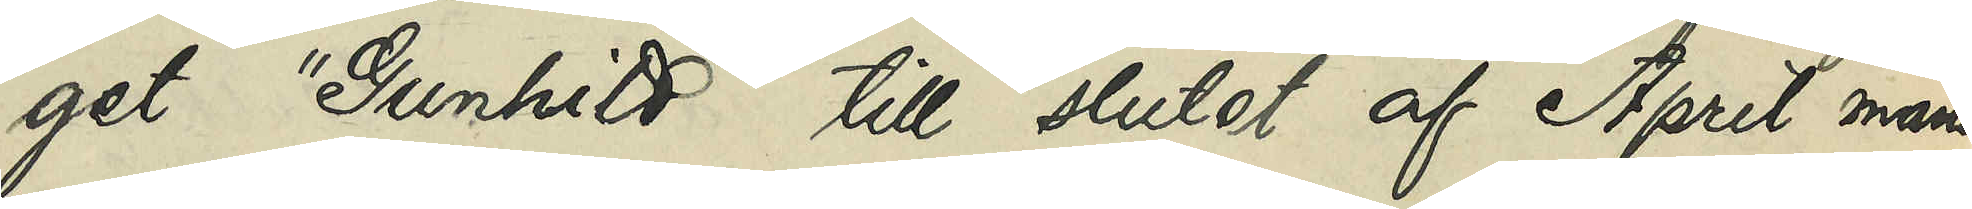get "Gunhild" till slutet af April månad
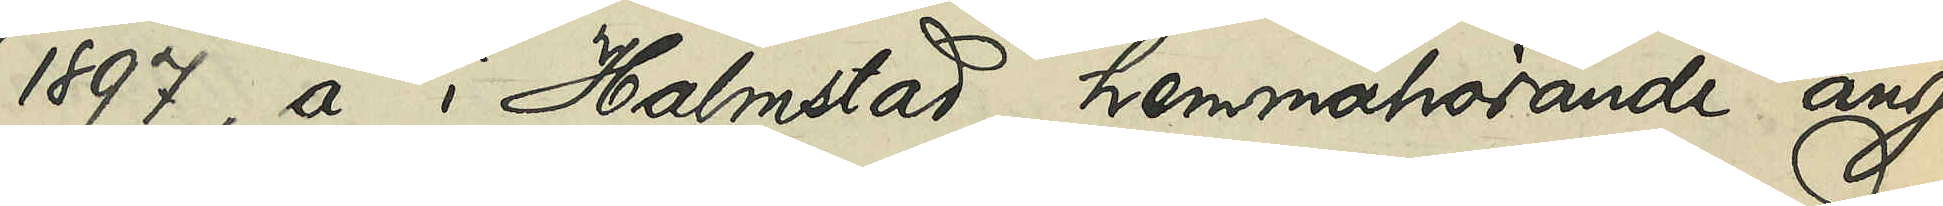1897, å i Halmstad hemmahörande ång¬
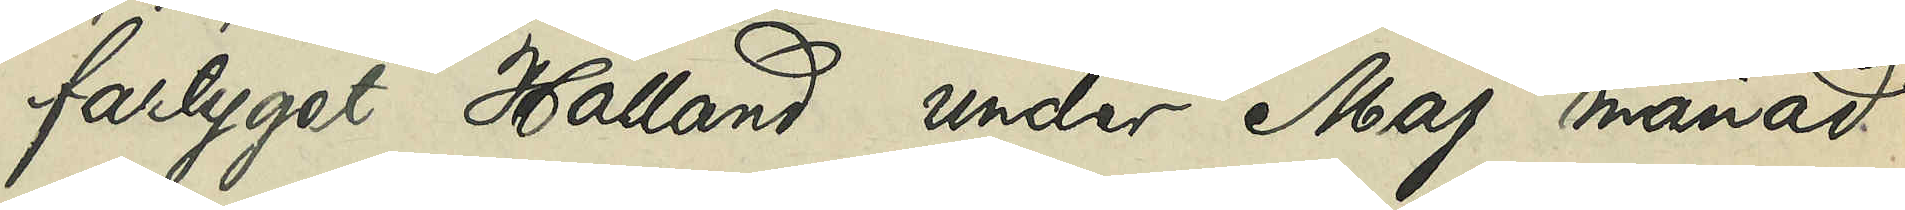fartyget Halland under Maj månad
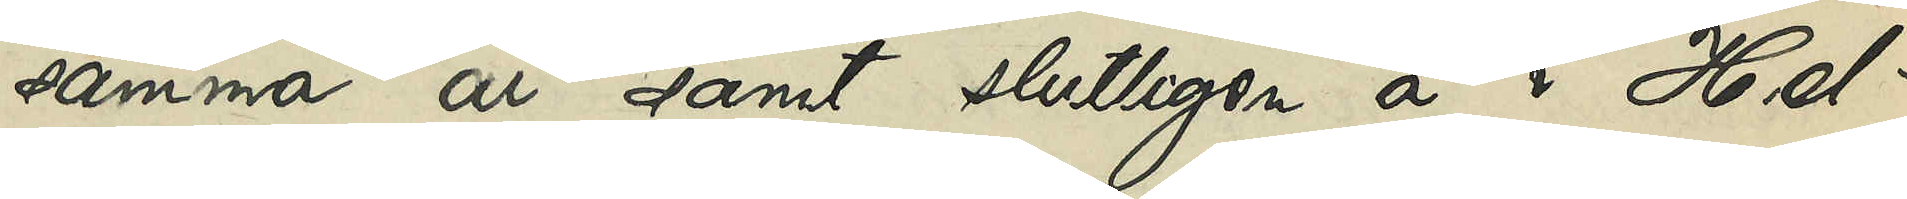samma år samt slutligen å i Hel¬
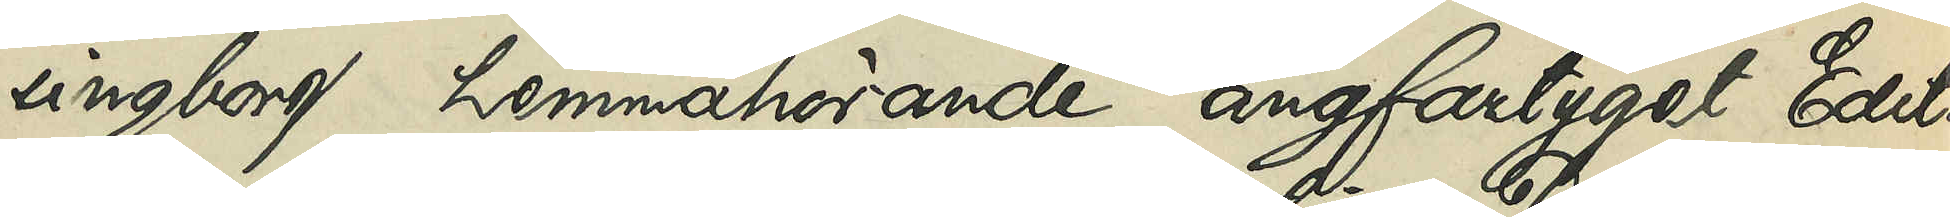singborg hemmahörande ångfartyget Edit
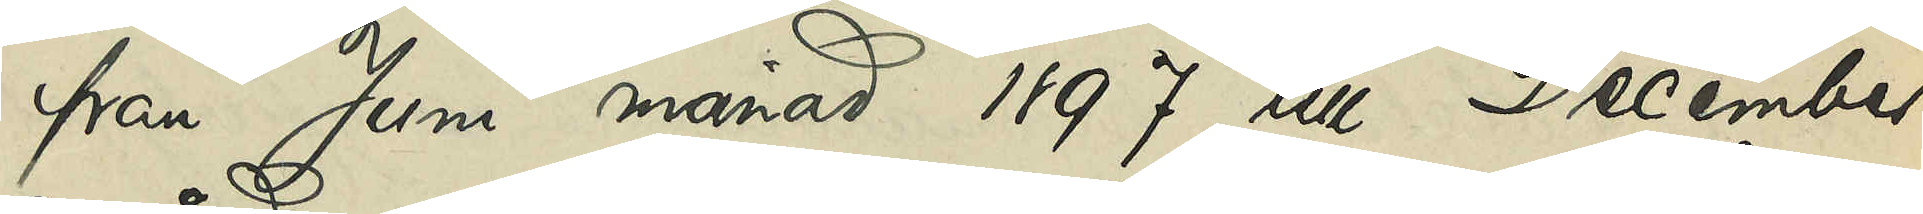från Juni månad 1897 till December
